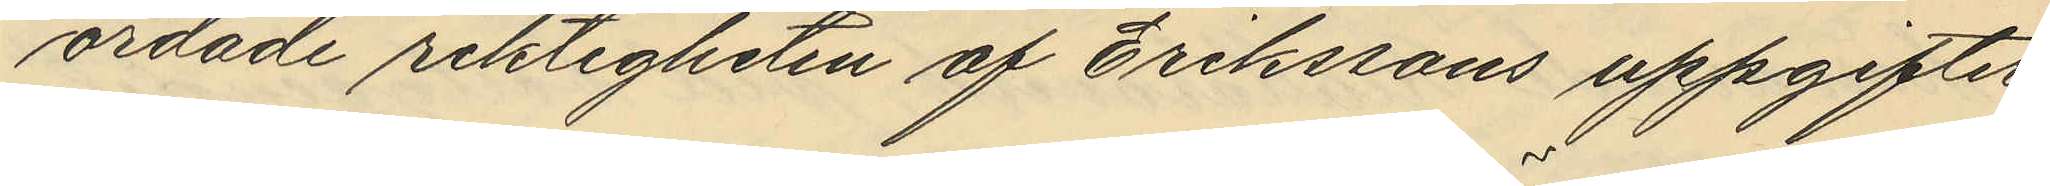ordade riktigheten af Erikssons uppgifter
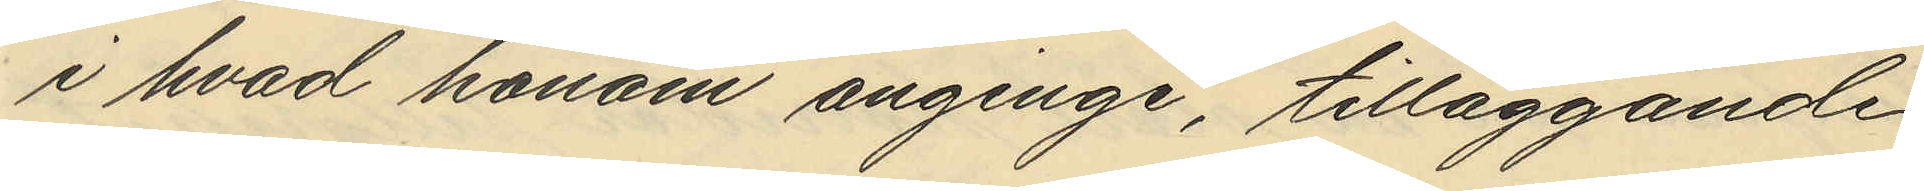i hvad honom anginge, tilläggande
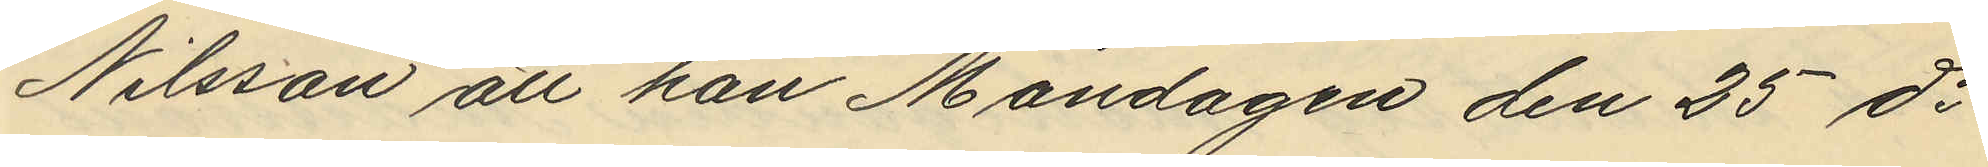Nilsson att han Måndagen den 25 ds
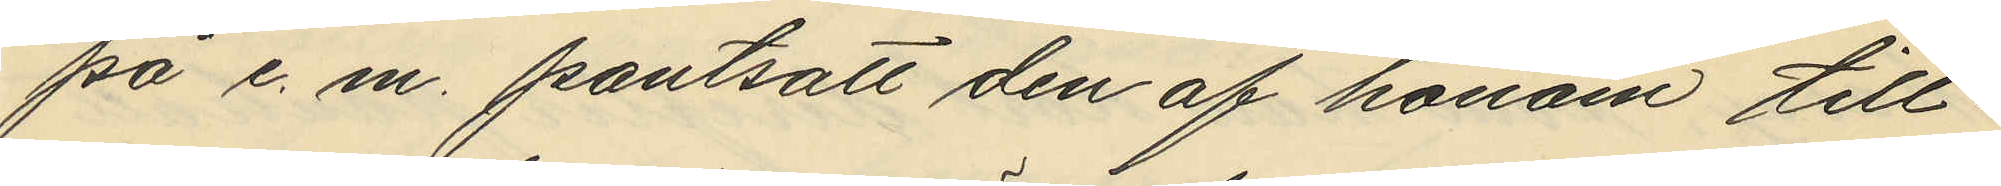på e. m. pantsatt den af honom till¬
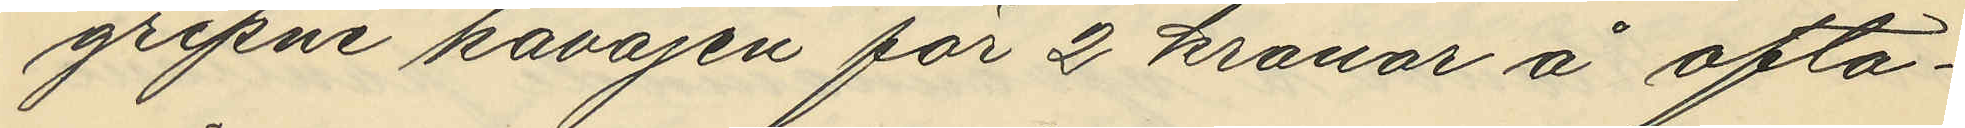gripne kavajen för 2 kronor å ofta¬
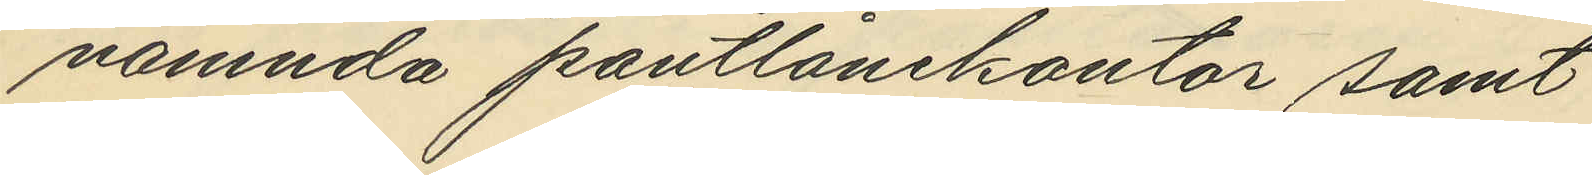nämnda pantlånekontor samt
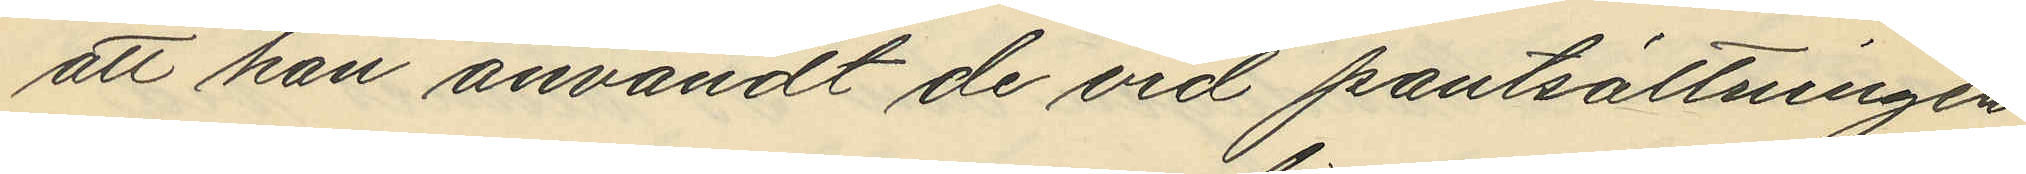att han användt de vid pantsättningen
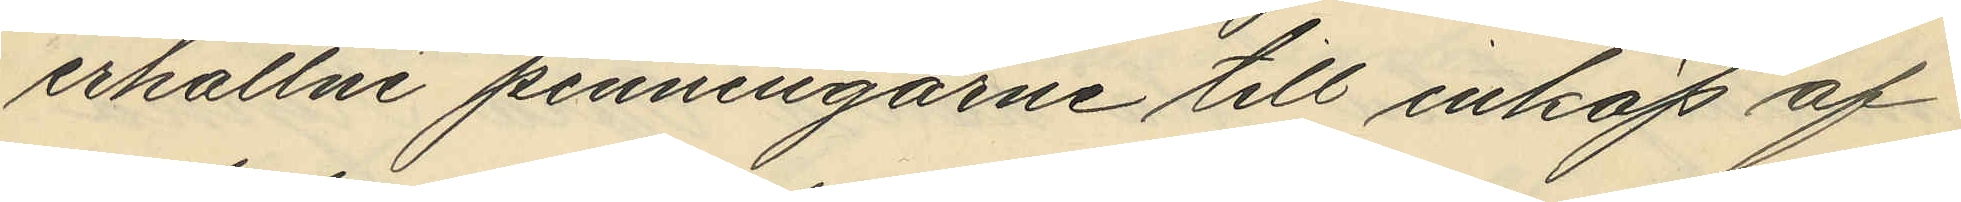erhållne penningarne till inköp af
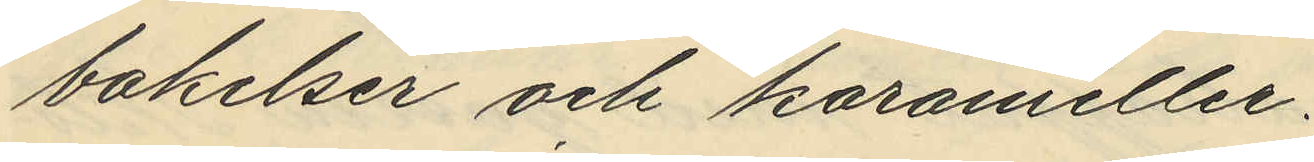bakelser och karameller.
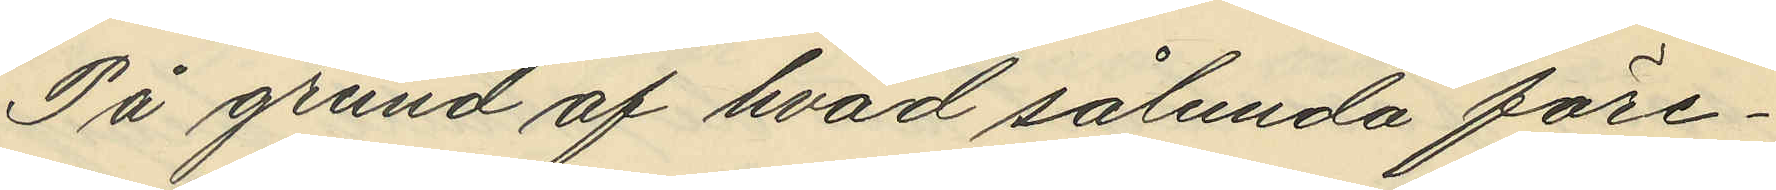På grund af hvad sålunda före¬
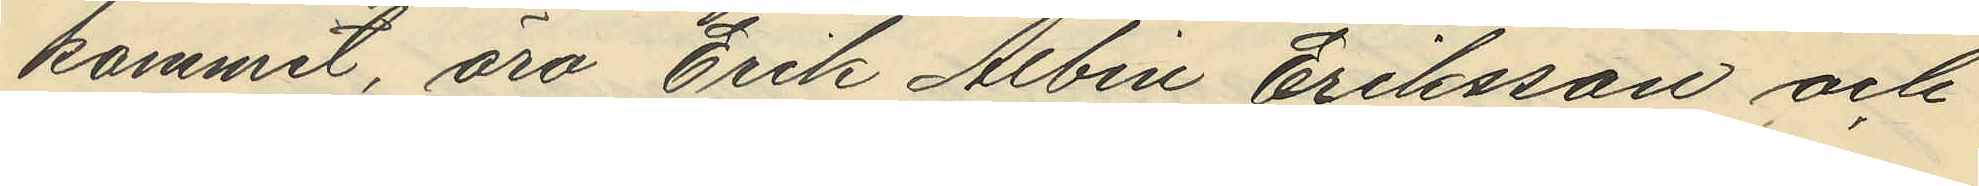kommit, äro Erik Albin Eriksson och
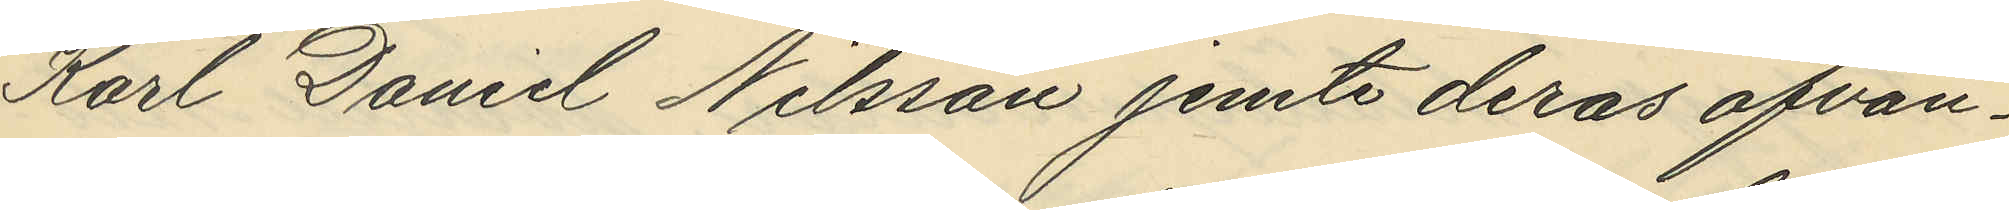Karl Daniel Nilsson jemte deras ofvan¬
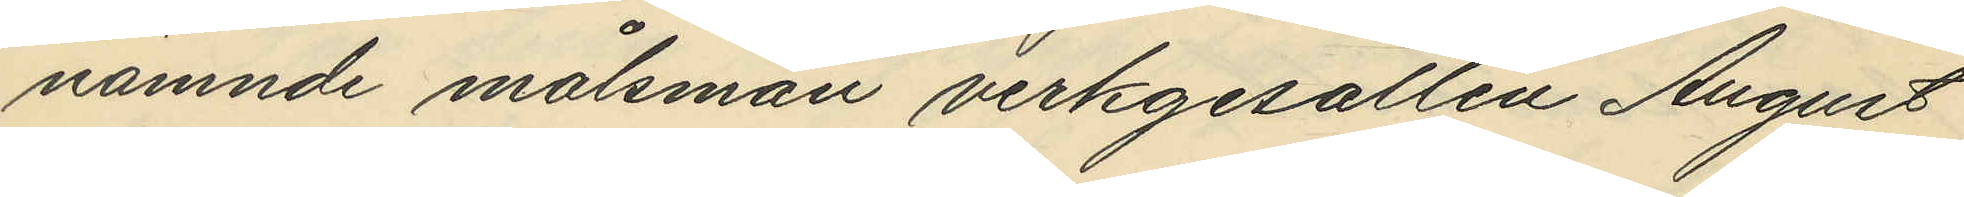nämnde målsman verkgesällen August
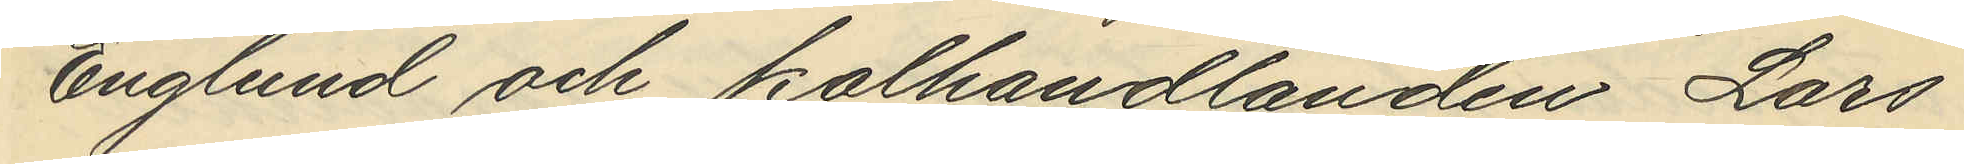Englund och kolhandlanden Lars
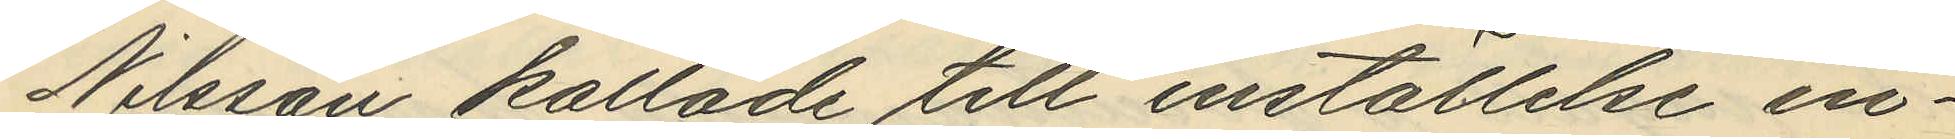Nilsson kallade till inställelse in¬
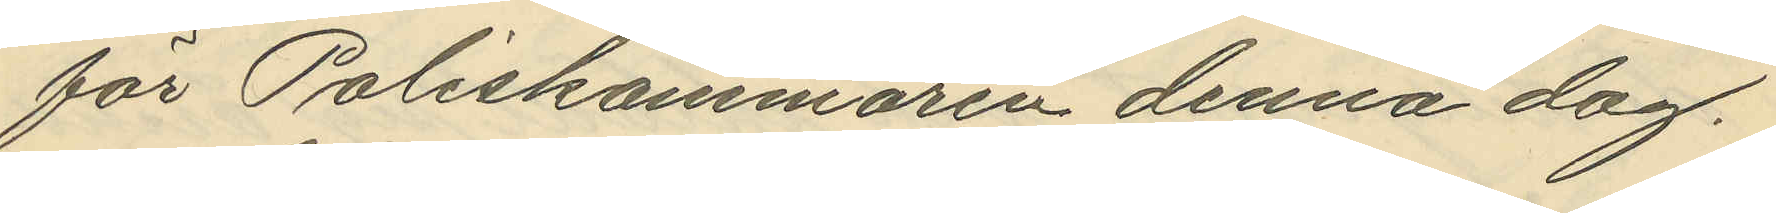för Poliskammaren denna dag.
